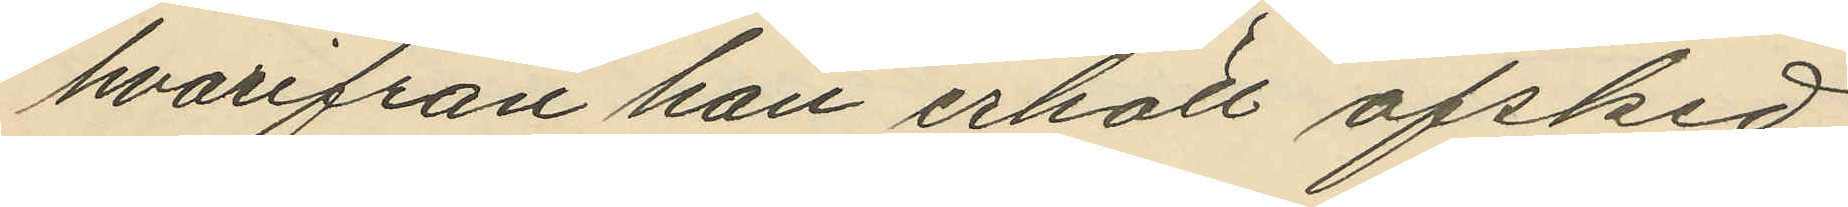hvarifrån han erhöll afsked
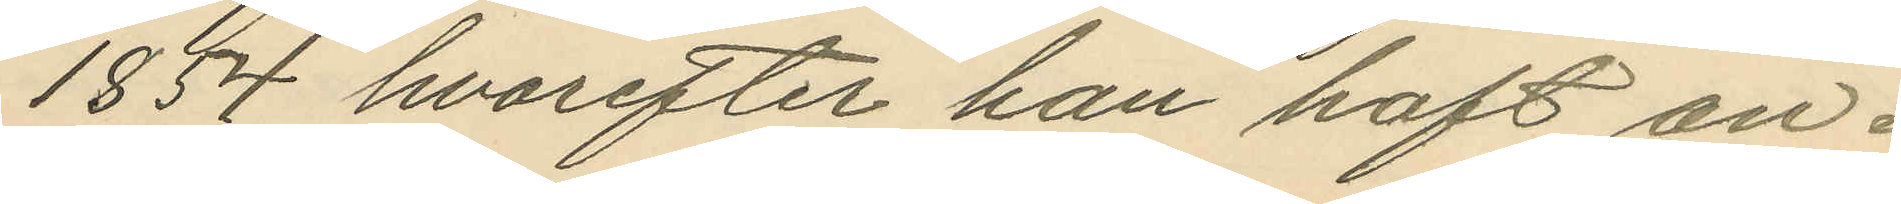1854 hvarefter han haft an¬
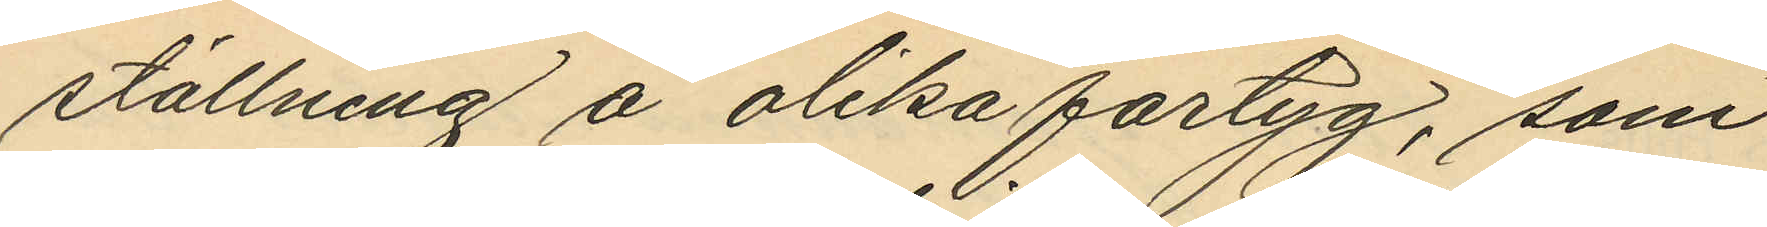ställning å olika fartyg, som
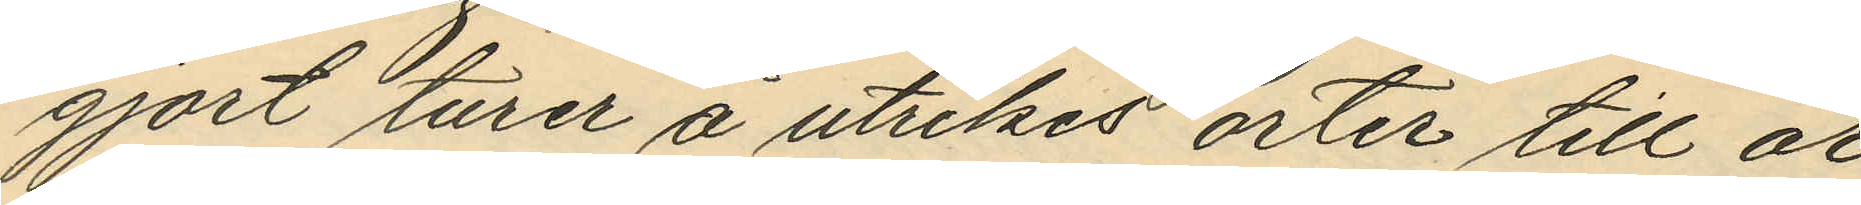gjort turer å utrikes orter till år
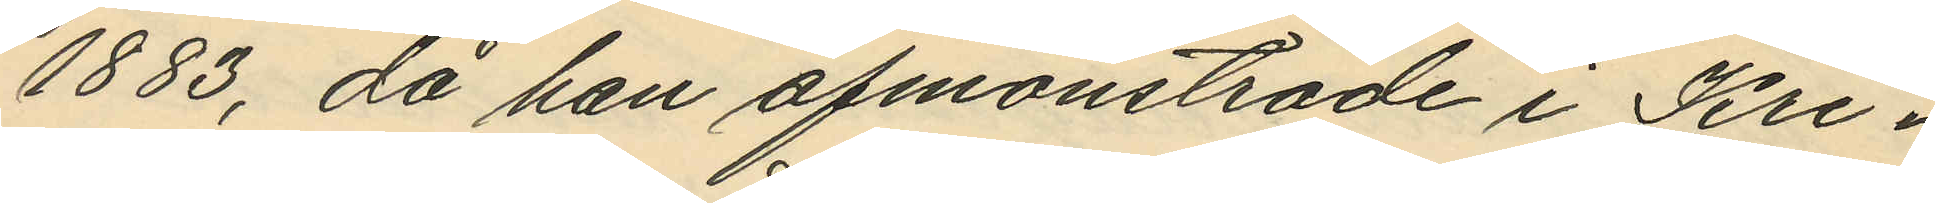1883, då han afmönstrade i Kri¬
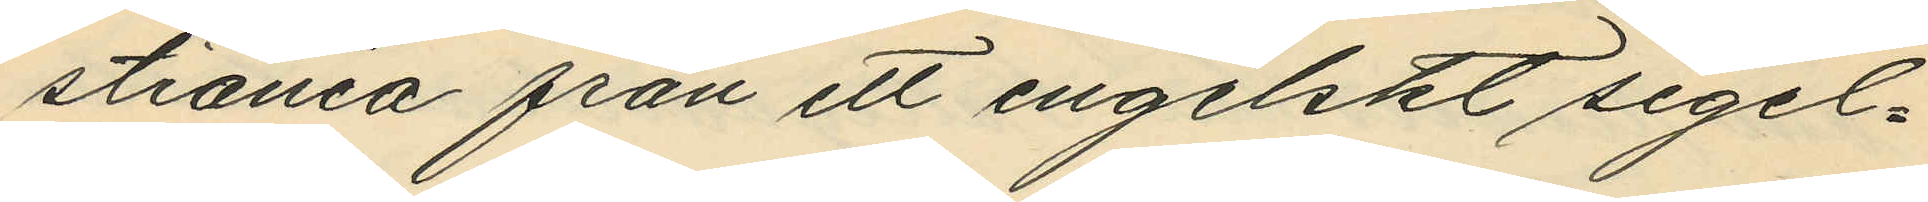stiania från ett engelskt segel¬
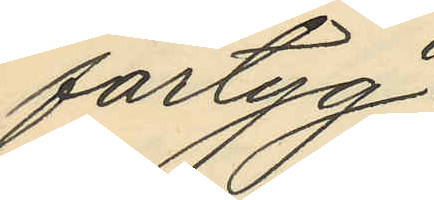fartyg;
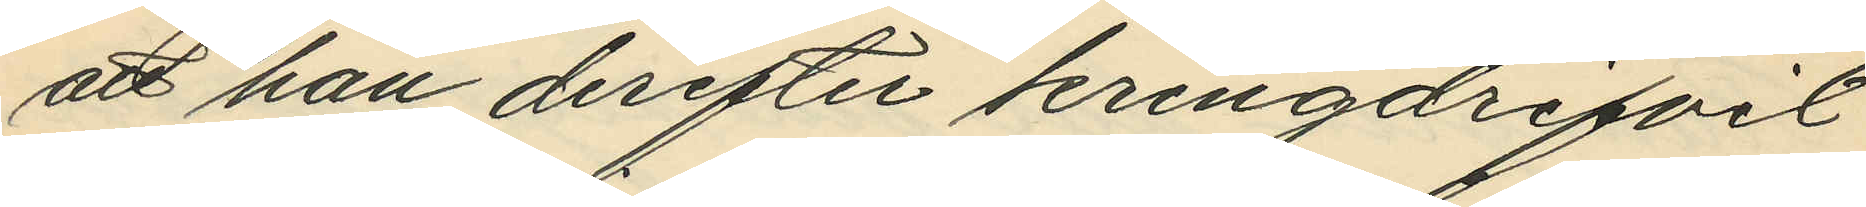att han derefter kringdrifvit
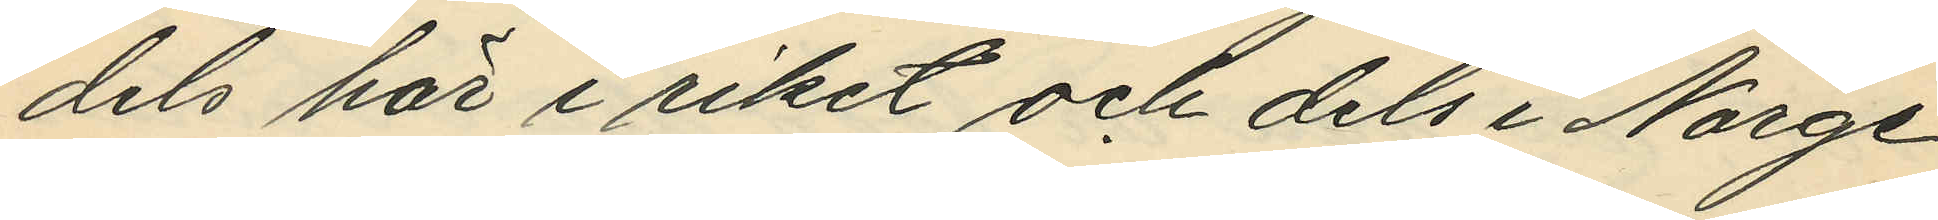dels här i riket och dels i Norge
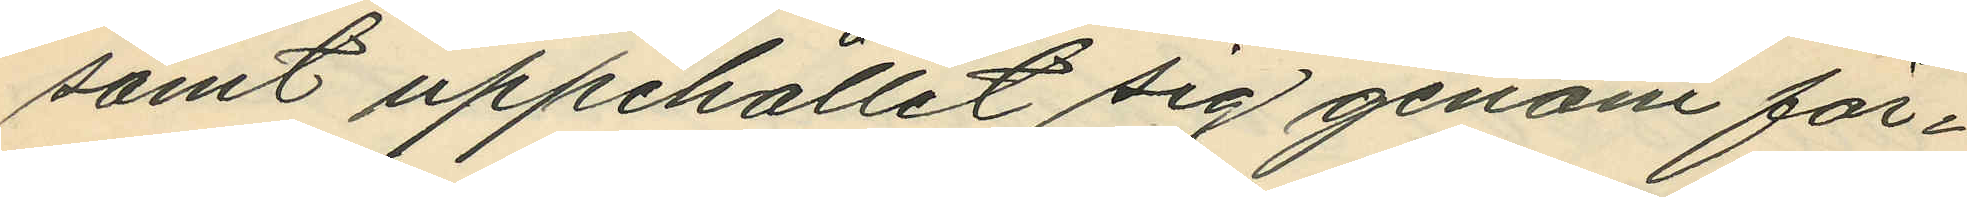samt uppehållit sig genom för¬
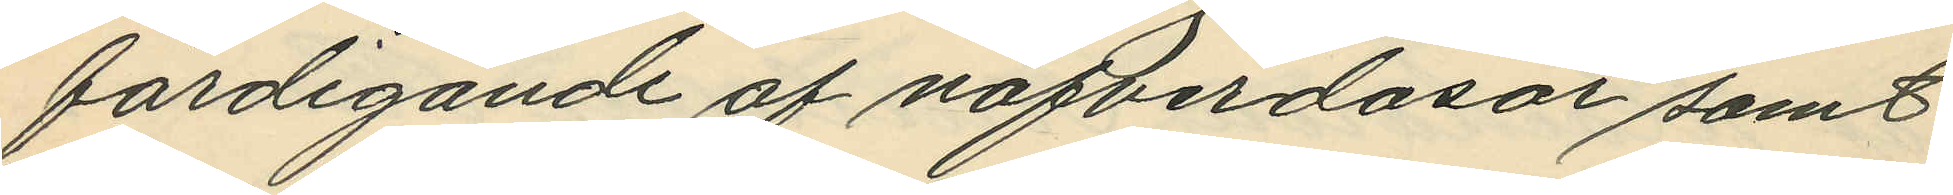färdigande af näfverdosor samt
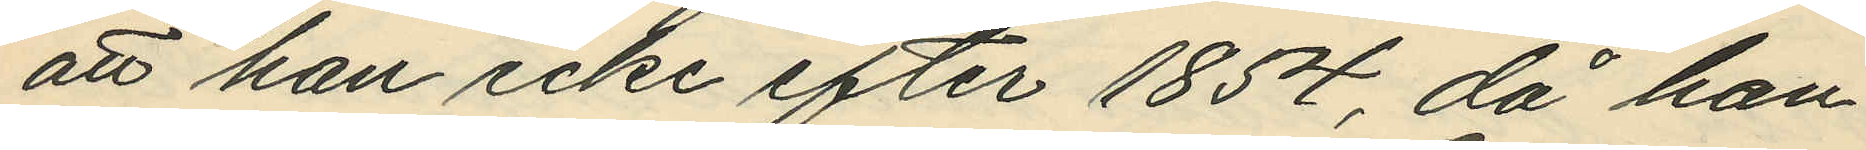att han icke efter 1854, då han
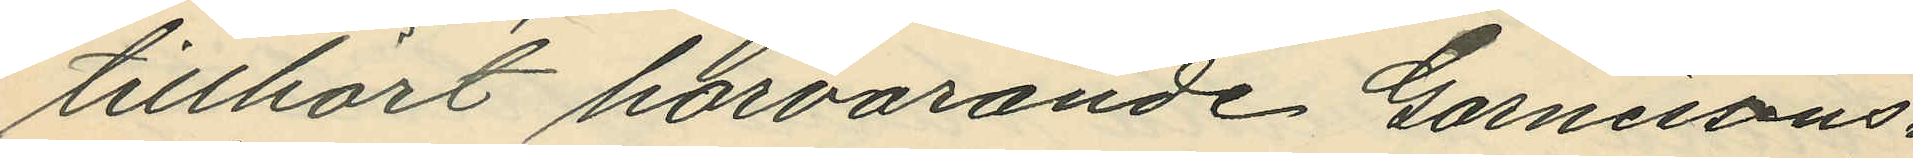tillhört härvarande Garnisons¬
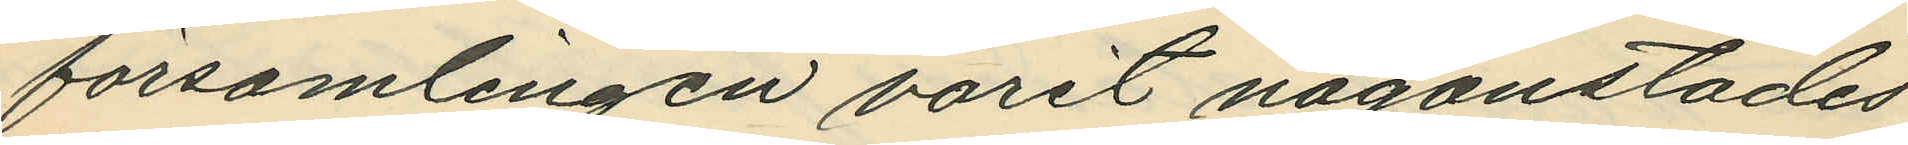församlingen varit någonstädes
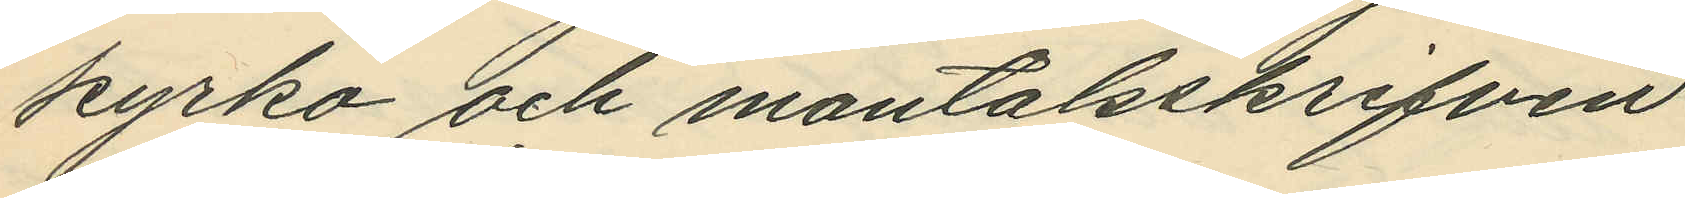kyrko och mantalsskrifven
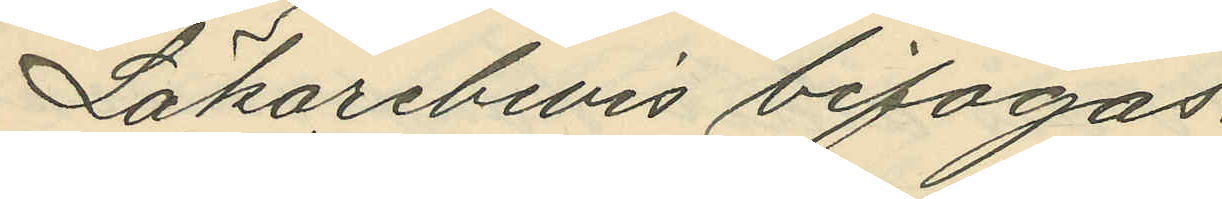Läkarebevis bifogas.
